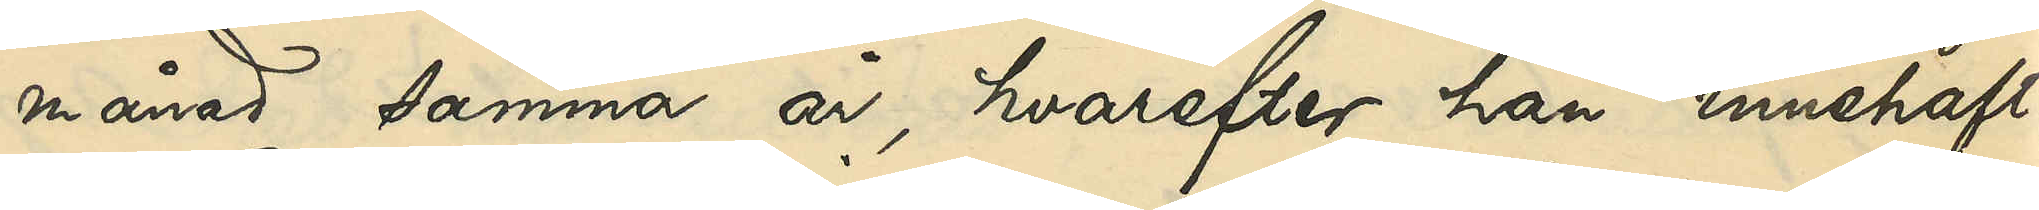månad samma år, hvarefter han innehaft
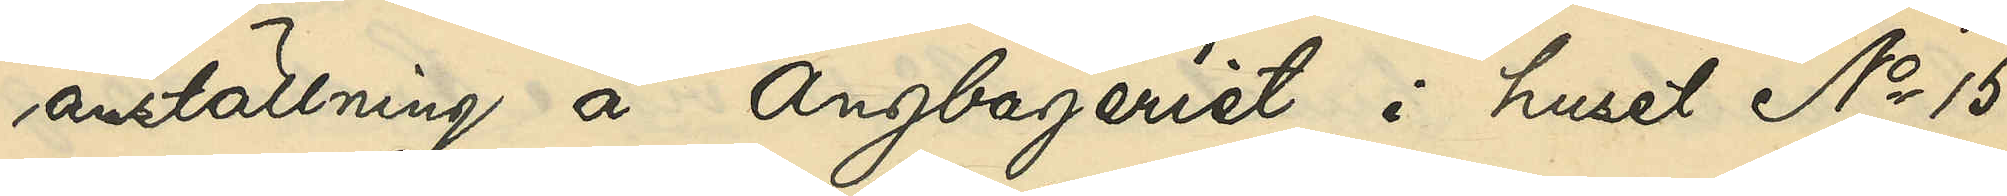anställning å Ångbageriet i huset No 15
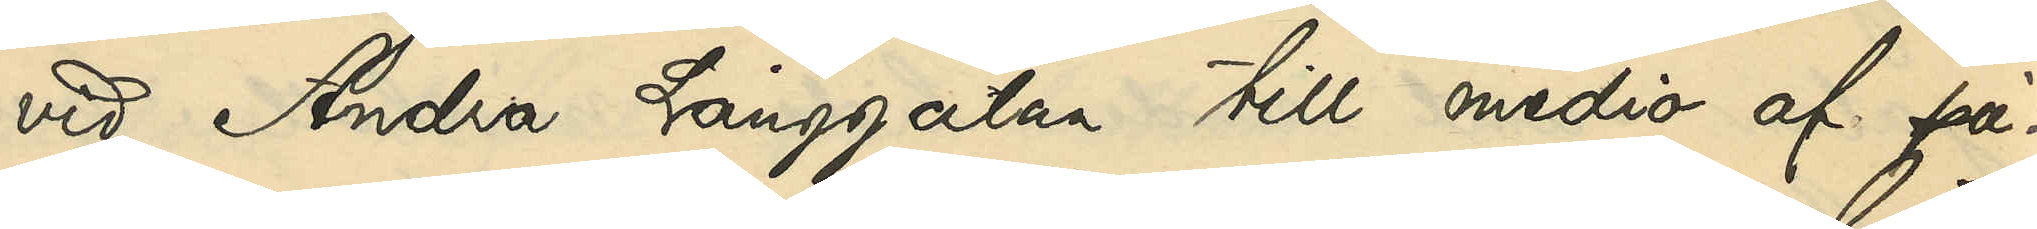vid Andra Långgatan till medio af på¬
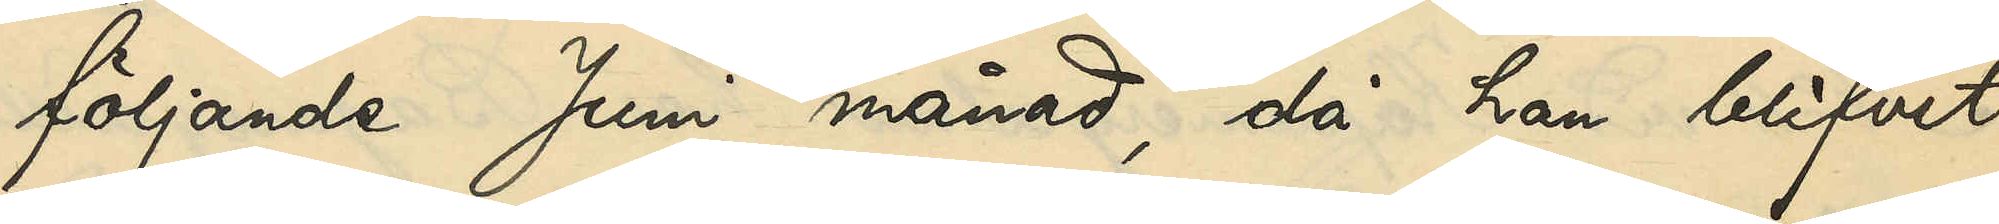följande Juni månad, då han blifvit
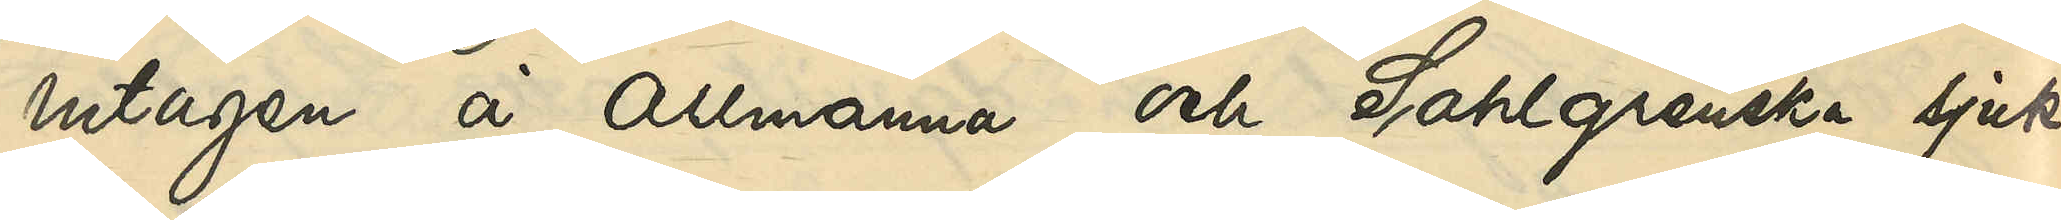intagen å Allmänna och Sahlgrenska sjuk¬
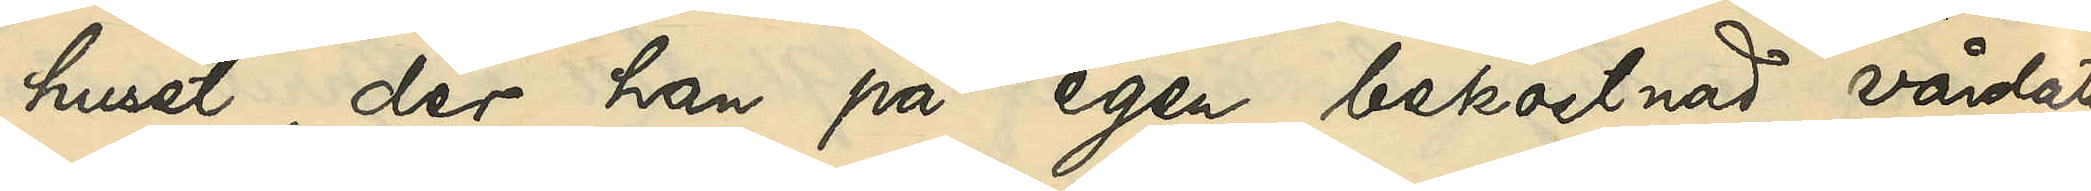huset, der han på egen bekostnad vårdats
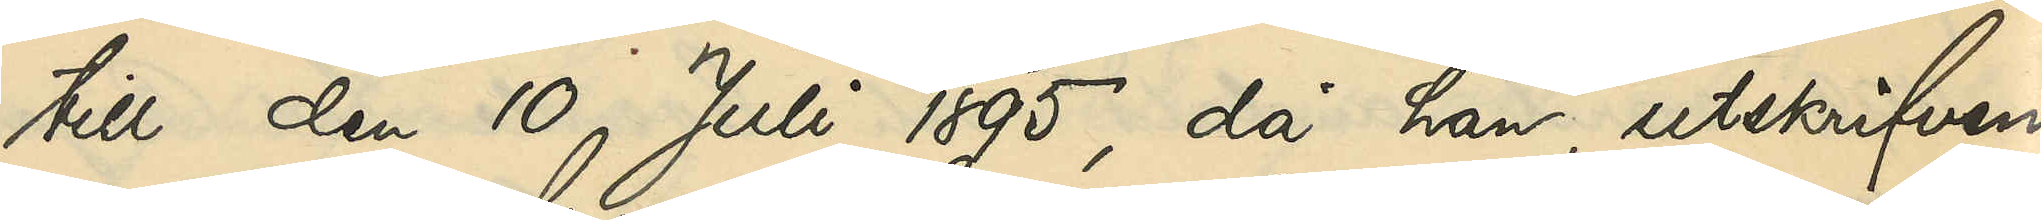till den 10 Juli 1895, då han, utskrifven
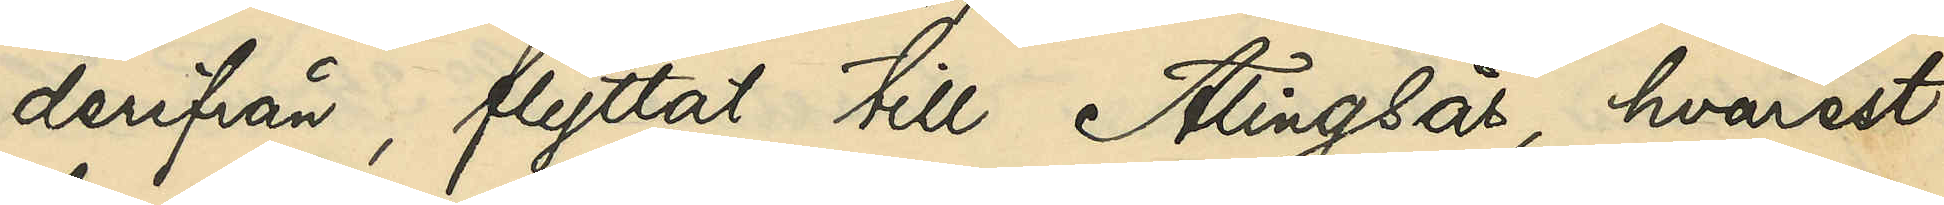derifrån, flyttat till Alingsås, hvarest
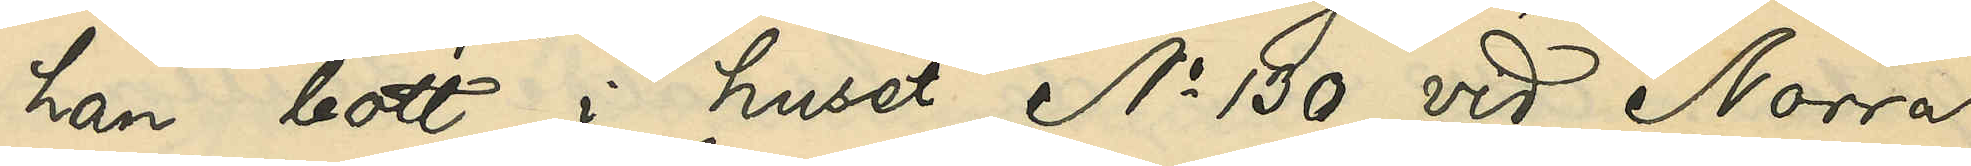han bott i huset No 130 vid Norra
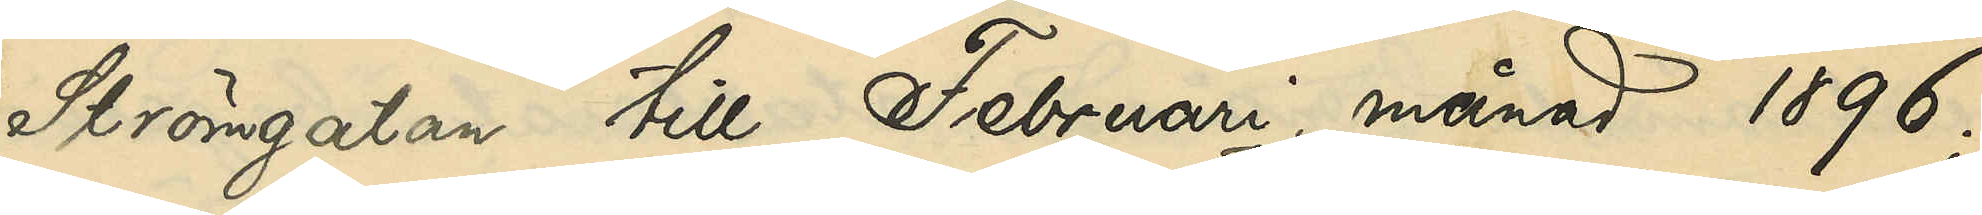Strömgatan till Februari månad 1896;
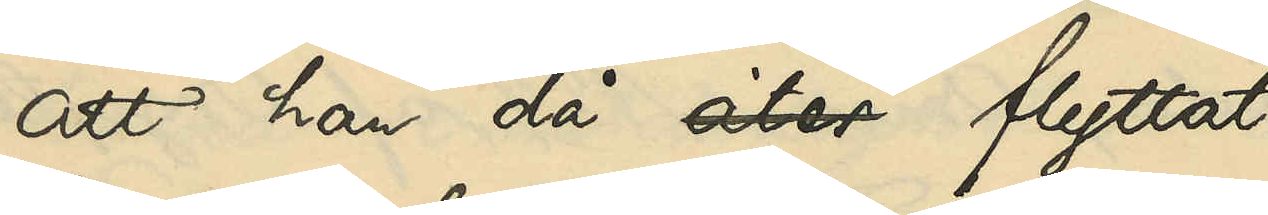att han då åter flyttat
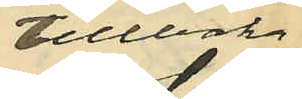tillbaka
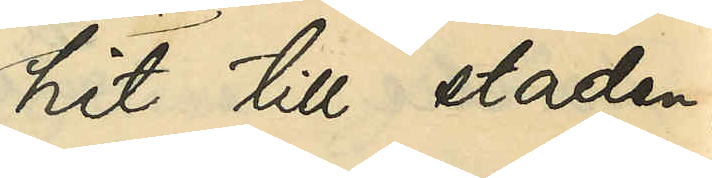hit till staden,
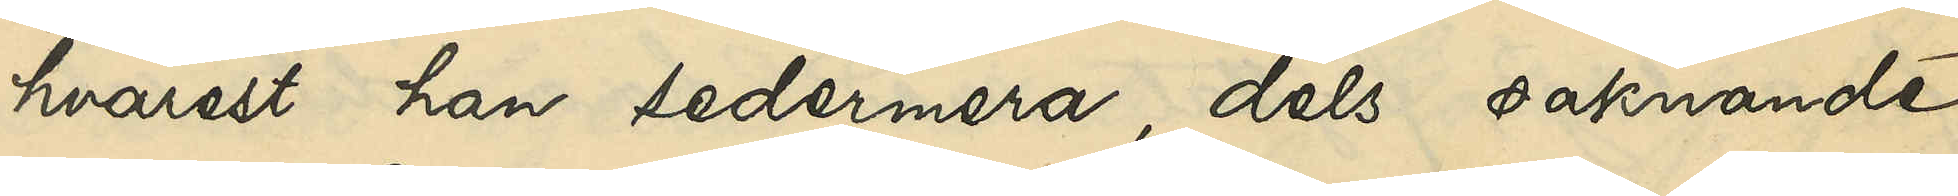hvarest han sedermera, dels saknade
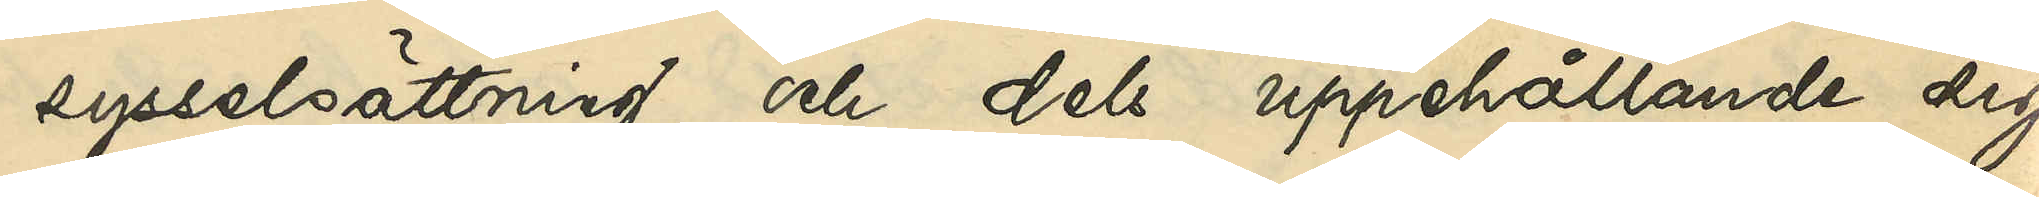sysselsättning och dels uppehållande sig
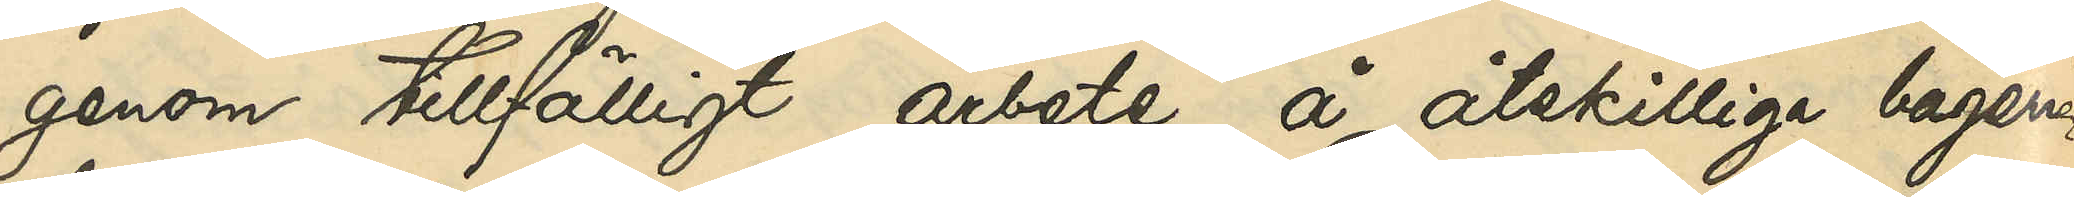genom tillfälligt arbete å åtskilliga bagerier
